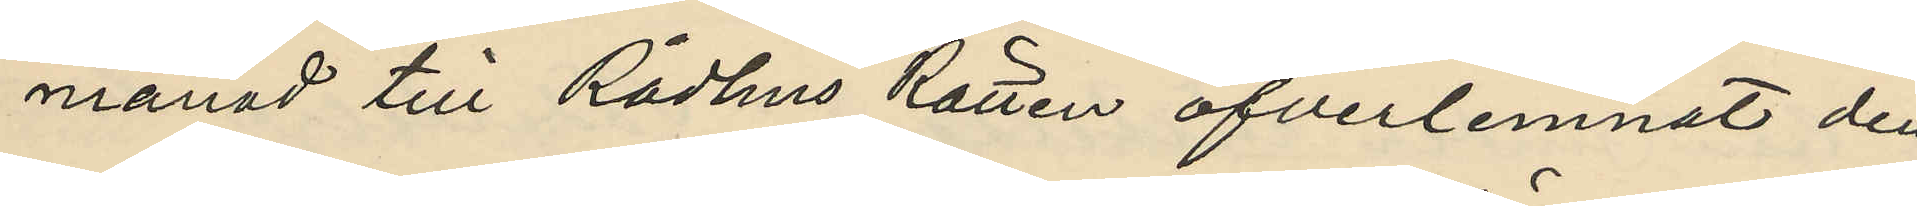månad till Rådhus Rätten öfverlemnat den
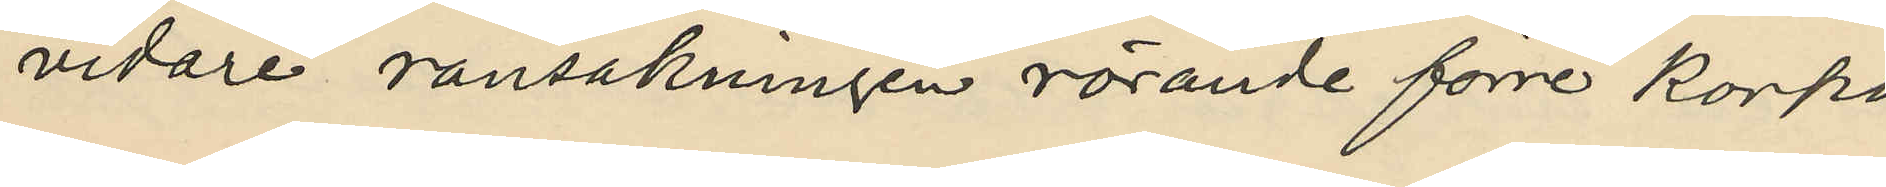vidare ransakningen rörande förre korpo¬
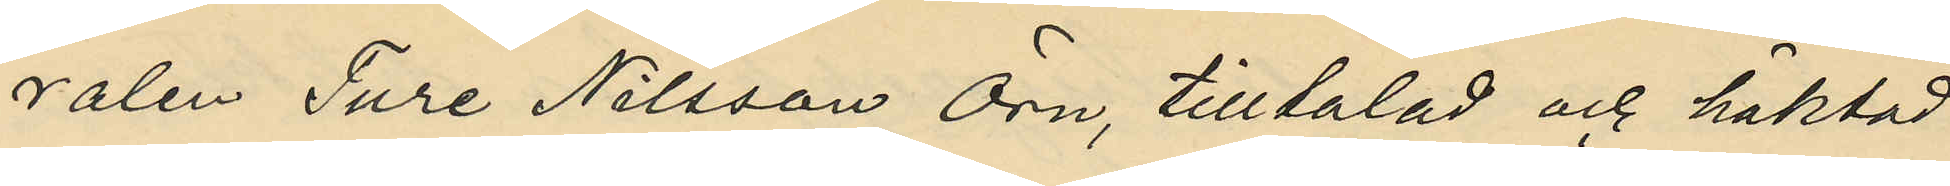ralen Ture Nilsson Örn, tilltalad och häktad
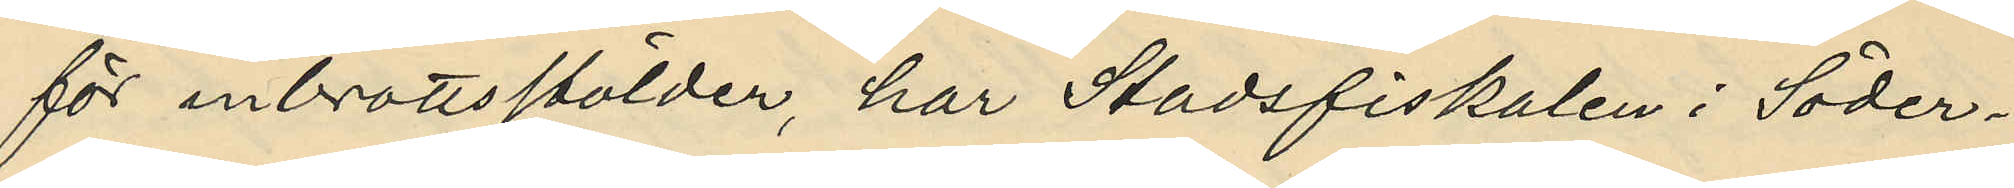för inbrottsstölder, har Stadsfiskalen i Söder¬
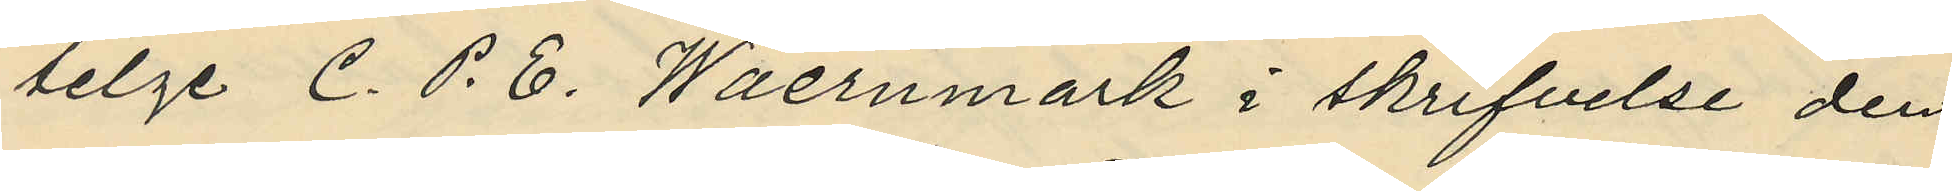telge C. P. E. Waernmark i skrifvelse den
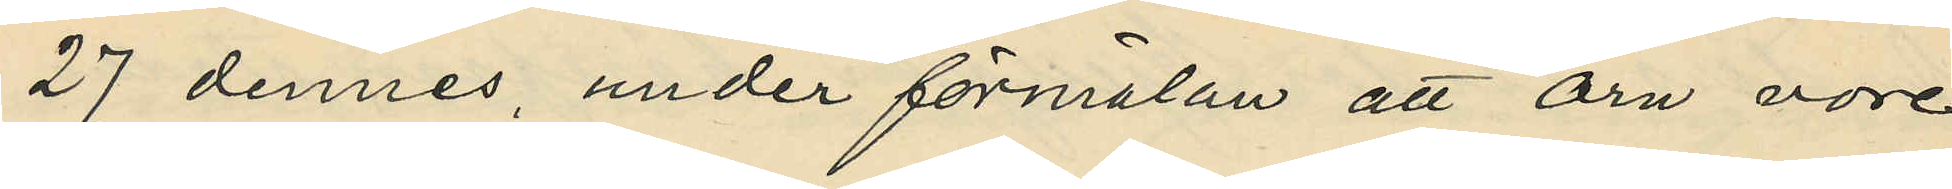27 dennes, under förmälan att Örn vore
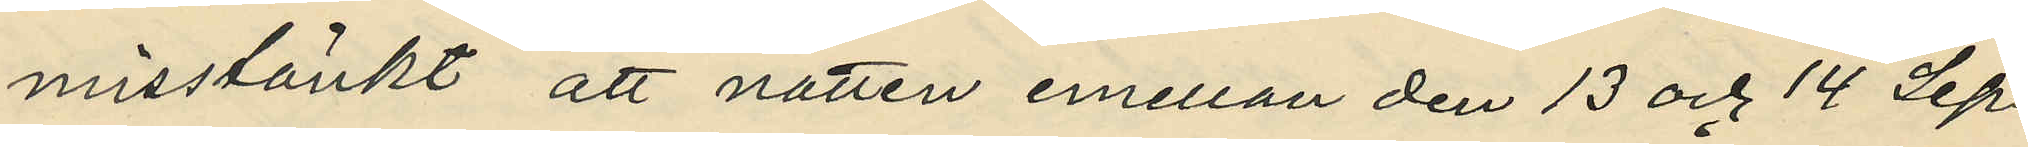misstänkt att natten emellan den 13 och 14 Sep¬
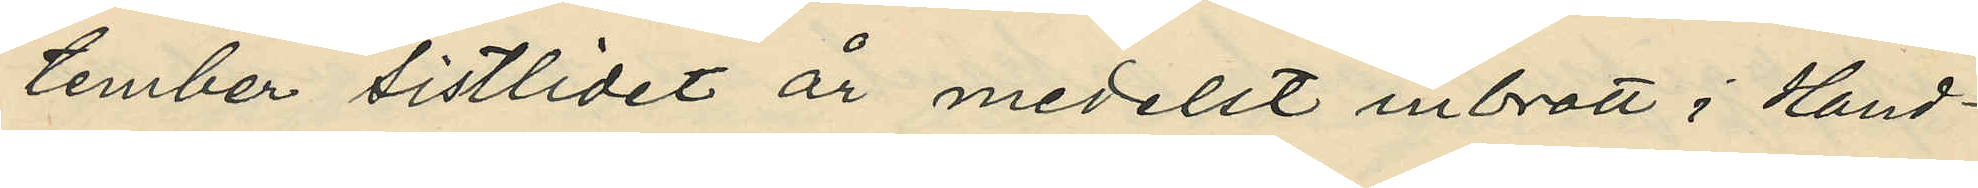tember sistlidet år medelst inbrott i Hand¬
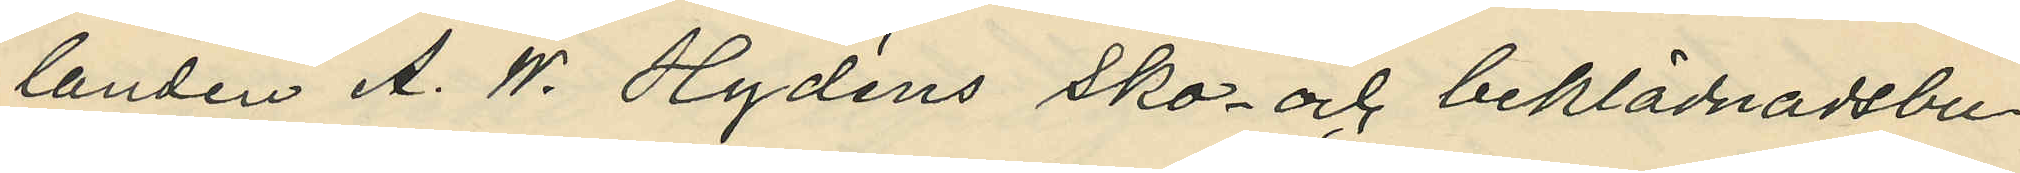landen A. W. Hydéns sko- och beklädnadsbu¬
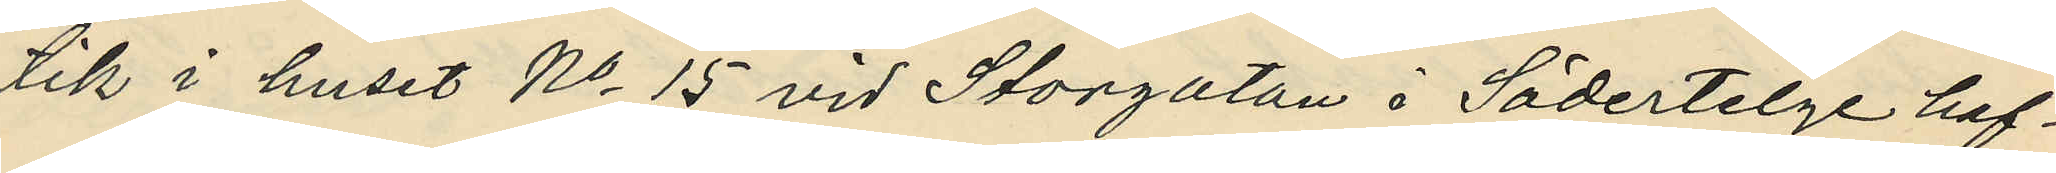tik i huset No 15 vid Storgatan i Södertelge haf¬
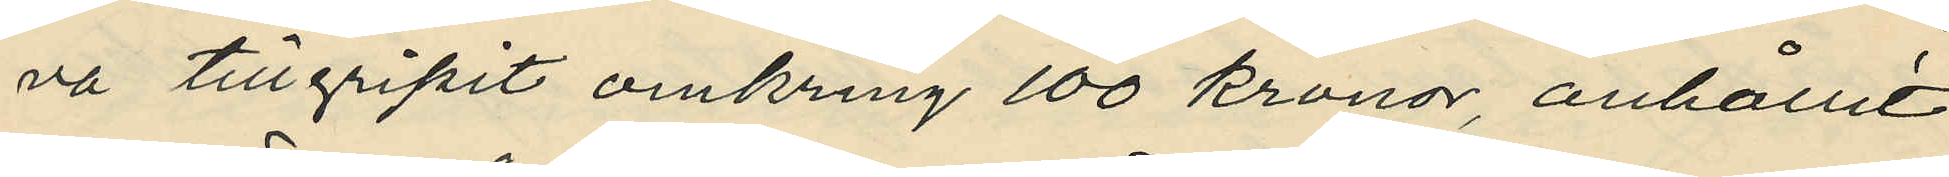va tillgripit omkring 100 kronor, anhållit
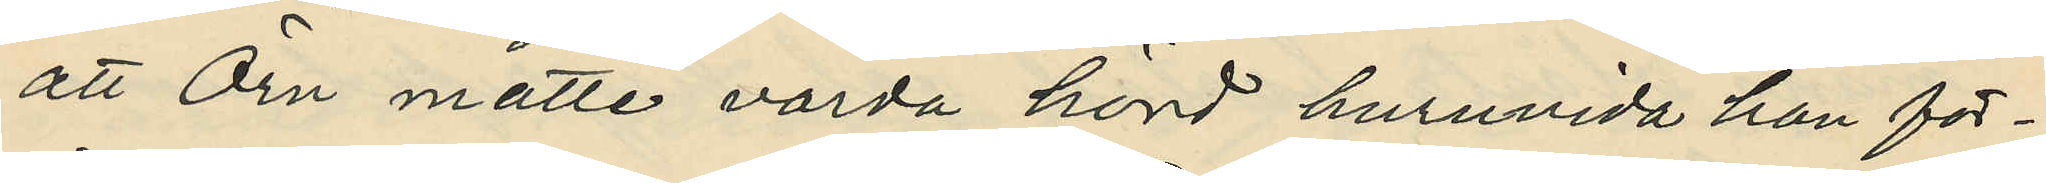att Örn måtte varda hörd huruvida han för¬
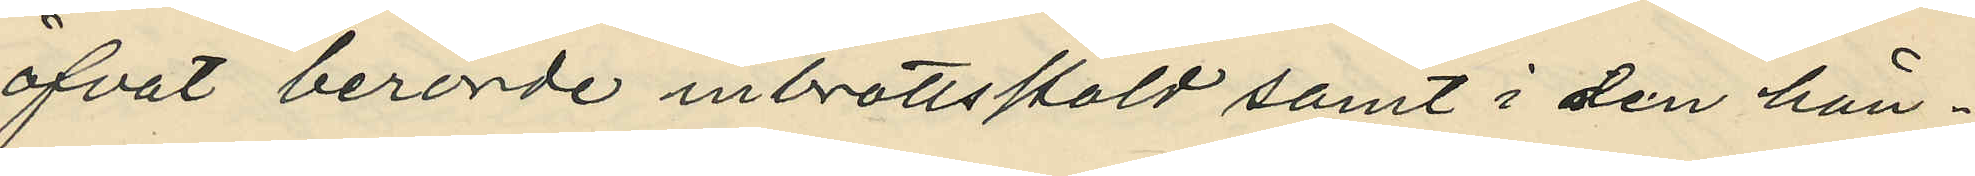öfvat berörde inbrottsstöld samt i den hän¬
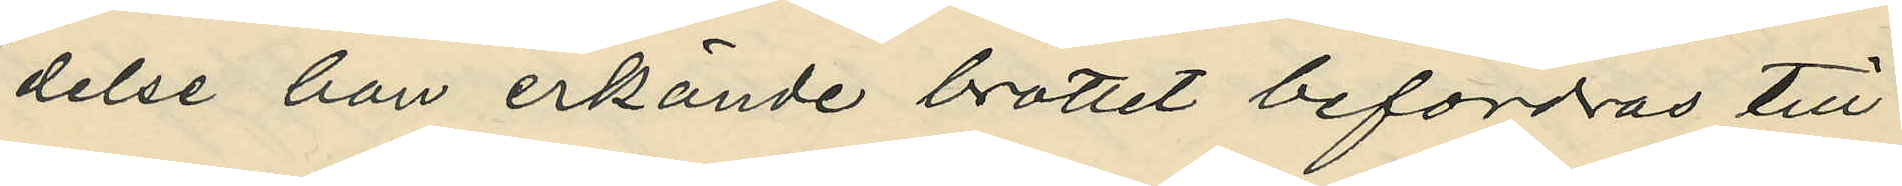delse han erkände brottet befordras till
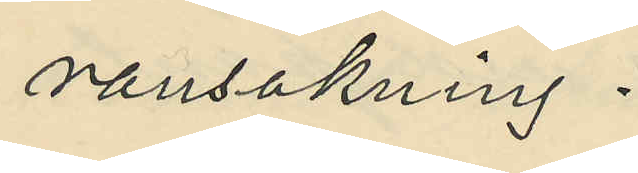ransakning.
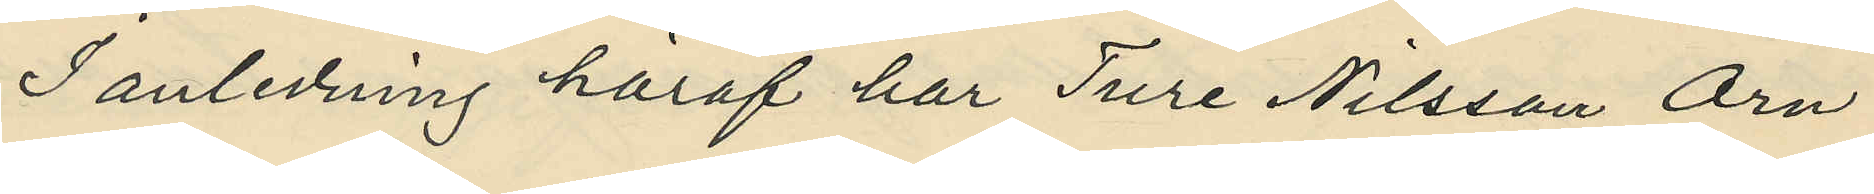I anledning häraf har Ture Nilsson Örn
